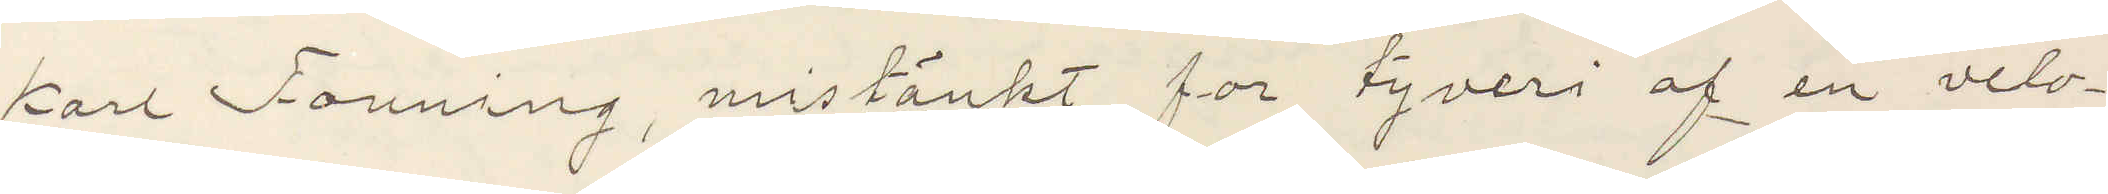Karl Founing, mistänkt for tyveri af en velo¬
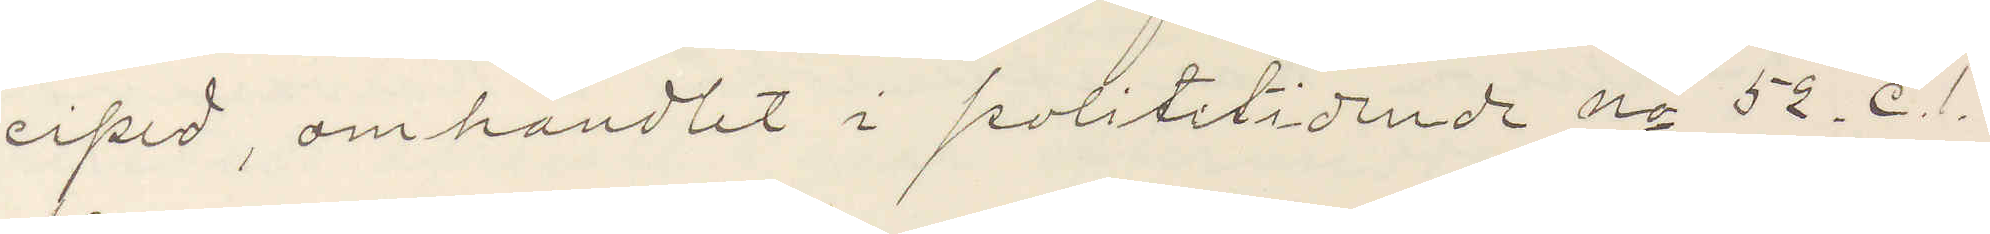ciped, omhandlet i polititidende No 52 C. 1.
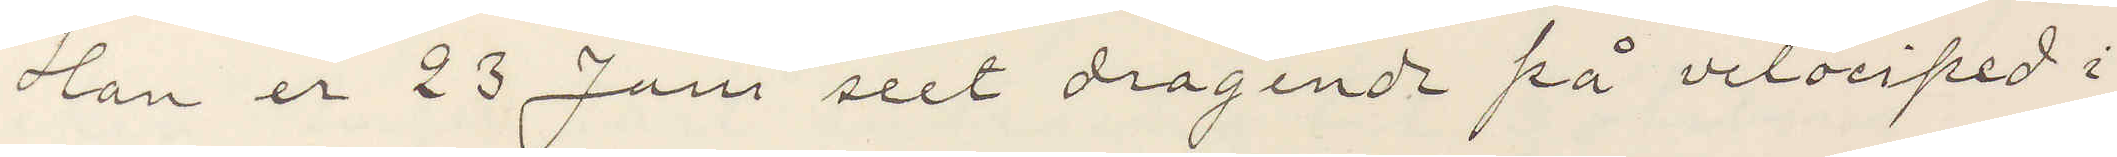Han er 23 Juni seet dragende på velociped i
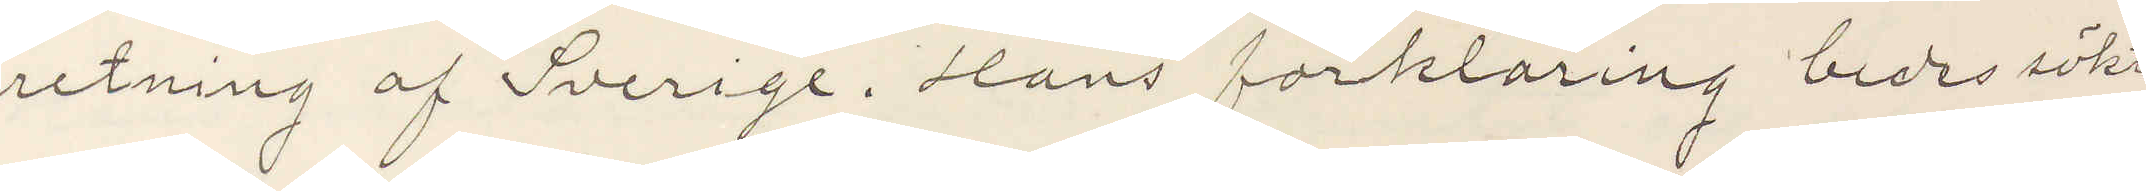retning af Sverige. Hans forklaring bedes sökt
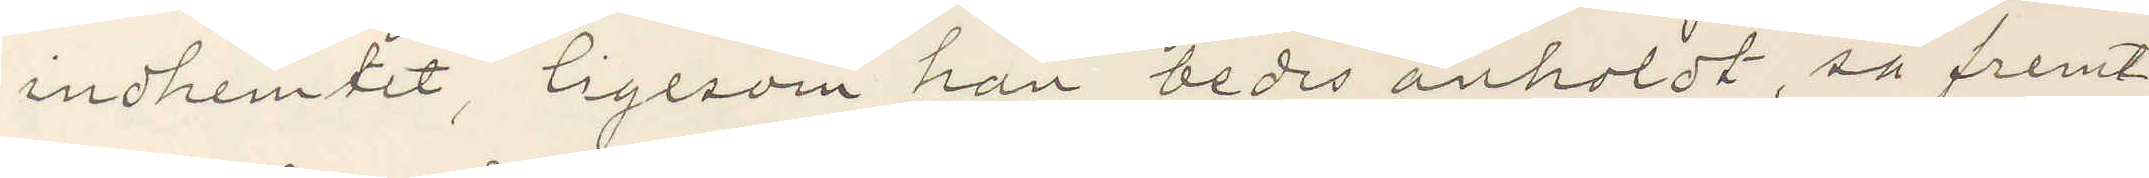inhemtet, ligesom han bedes anholdt, så fremt
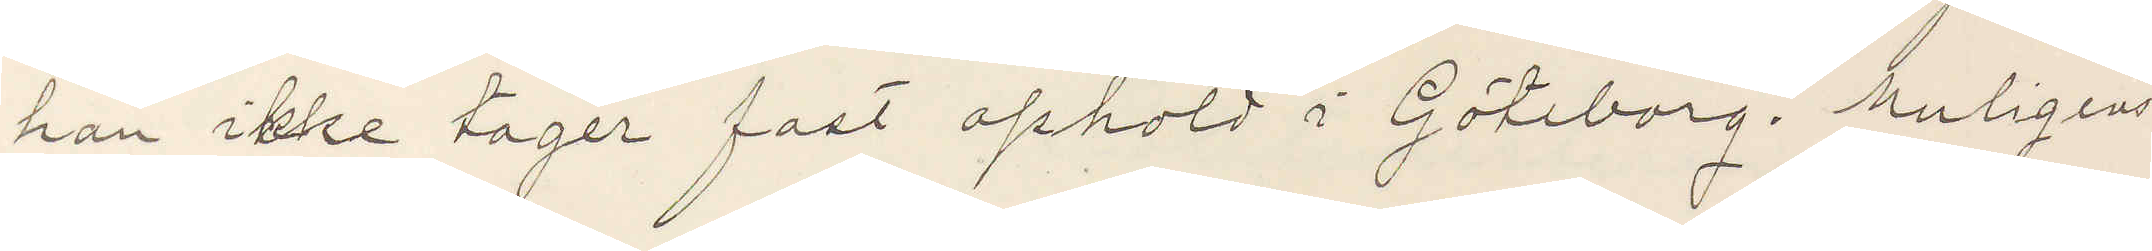han ikke tager fast opholdt i Göteborg. Muligen
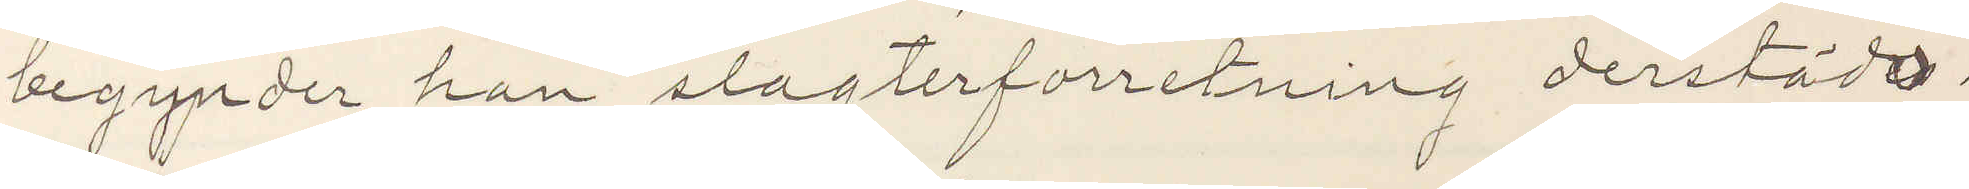begynder han slagterforretning derstädes.
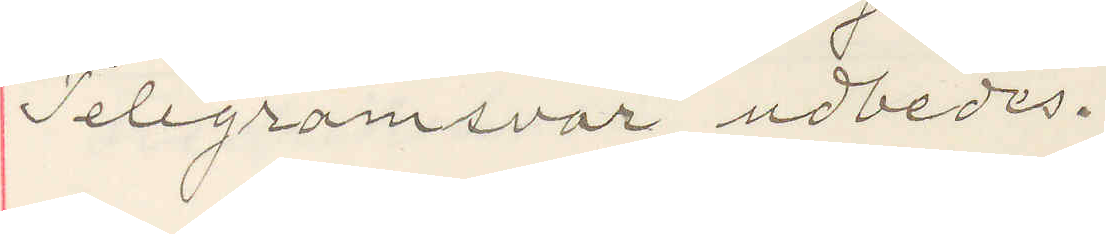Telegramsvar udbedes.
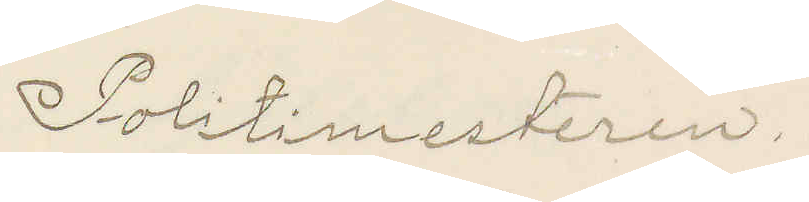Politimesteren.
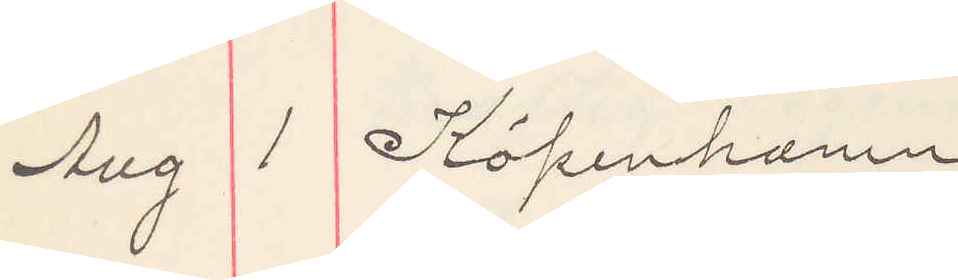Aug 1 Köpenhamn
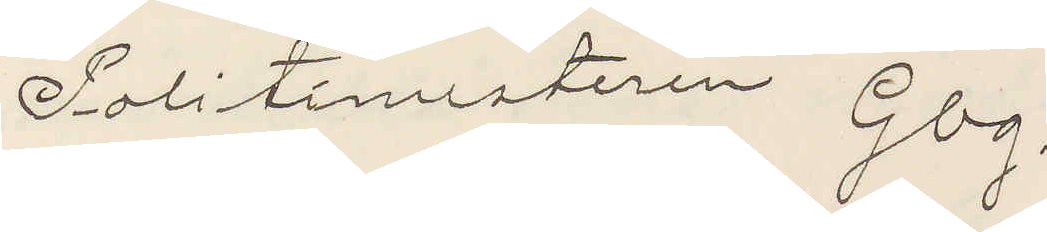Politimesteren Gbg.
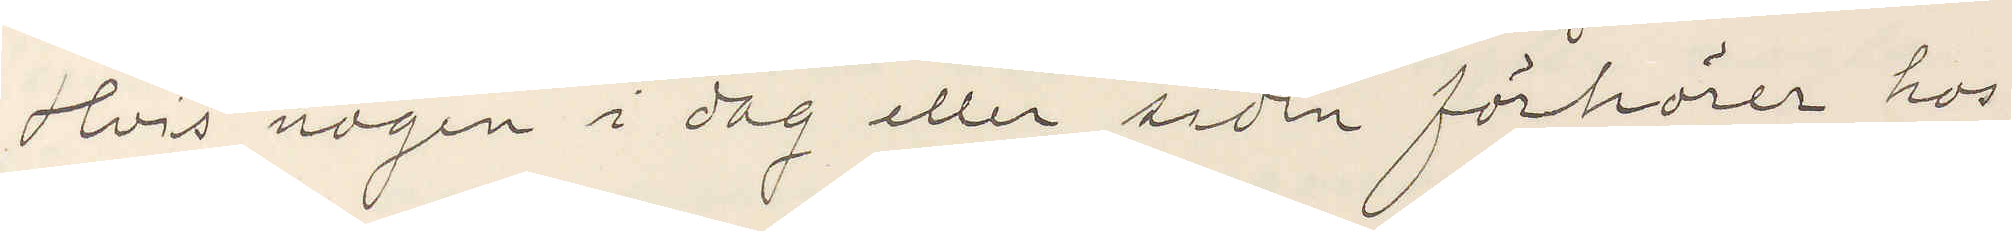Hvis nogen i dag eller siden förhörer hos
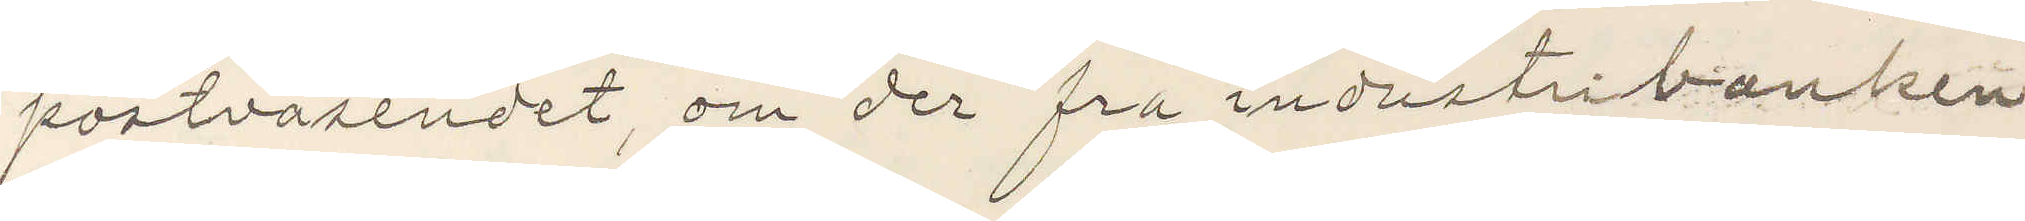postväsendet, om der fra industribanken
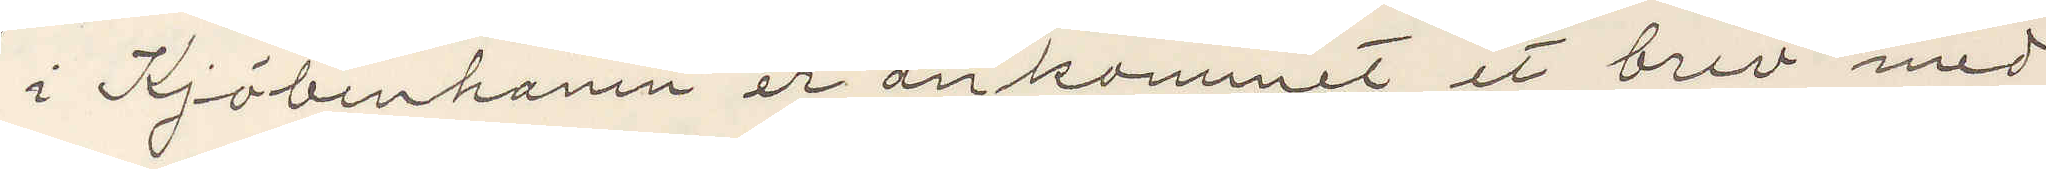i Kjöbenhamn er ankommet et brev med
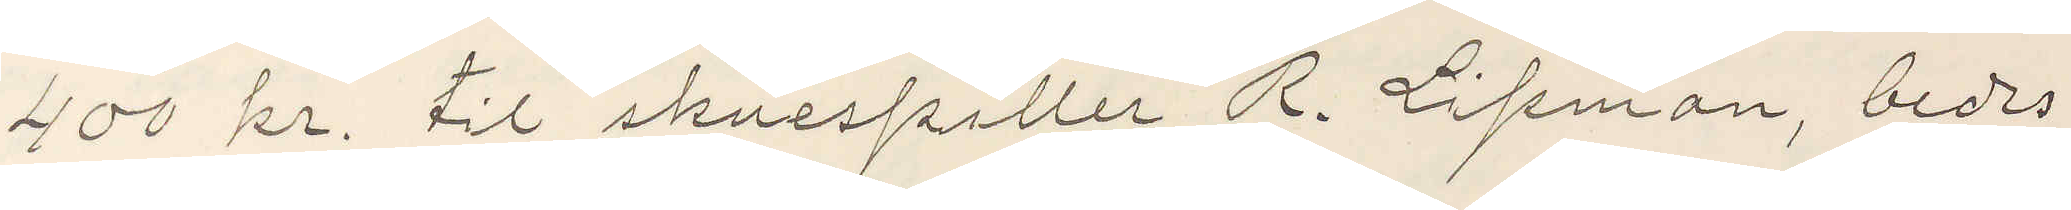400 kr. til skuespiller R. Lipman, bedes
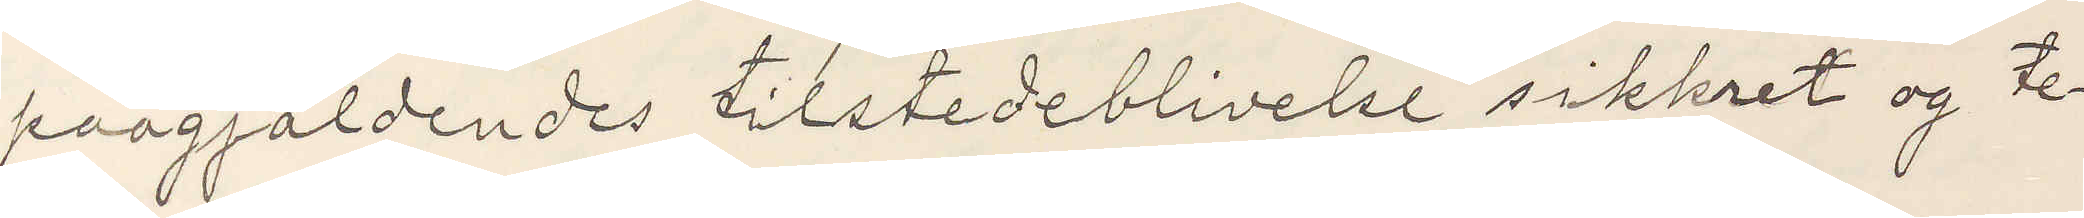paagjäldendes tilstedeblivelse sikkret og te¬
